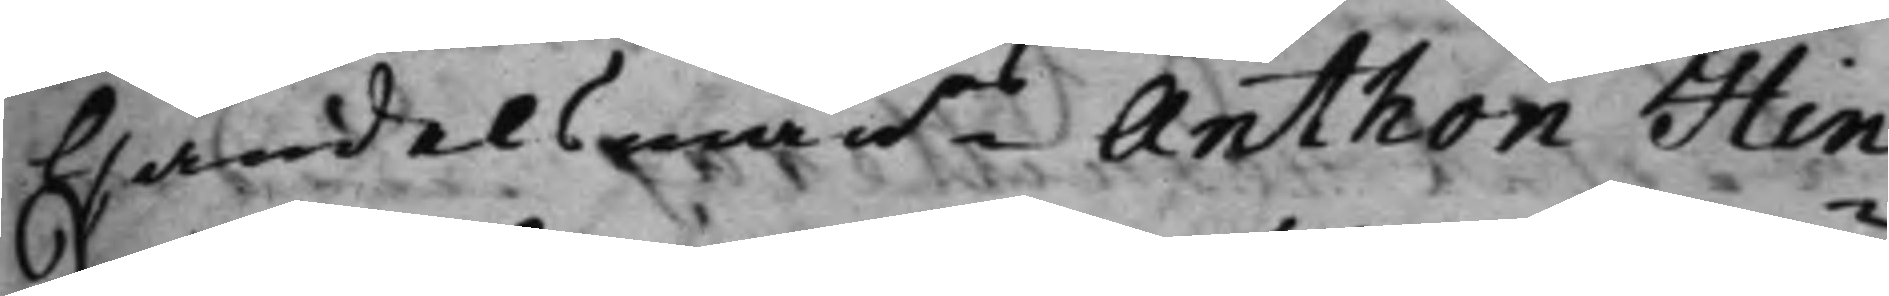Handelsmanns Anthon Hin¬
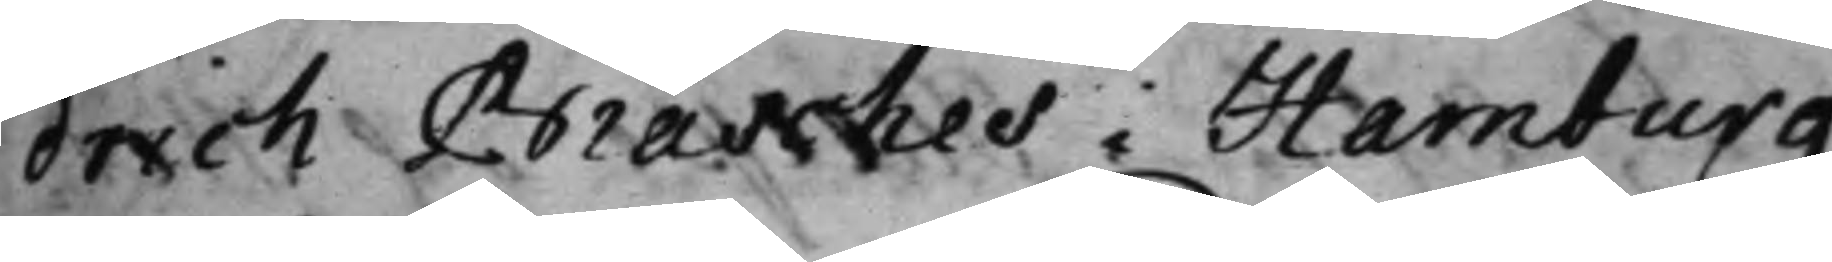drich Brasches i Hamburg
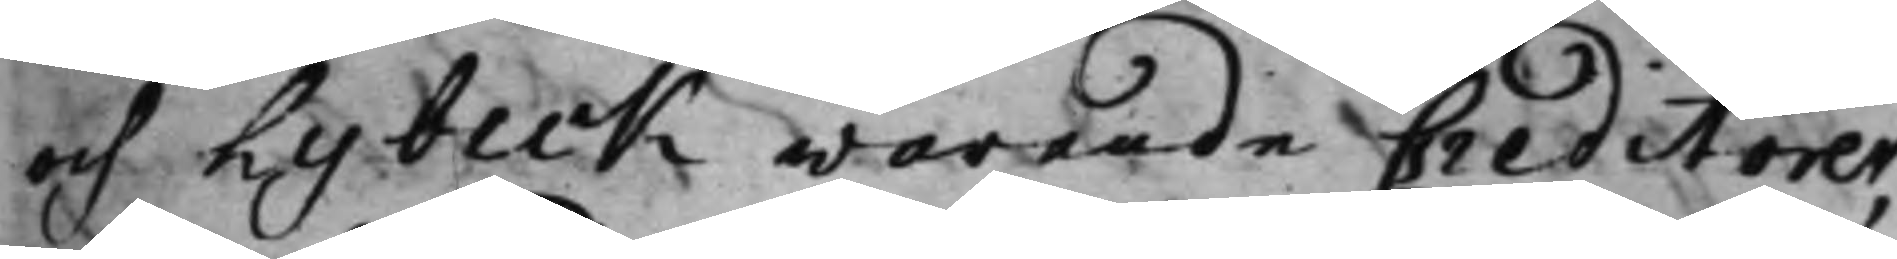och Lybeck warande Creditorer,
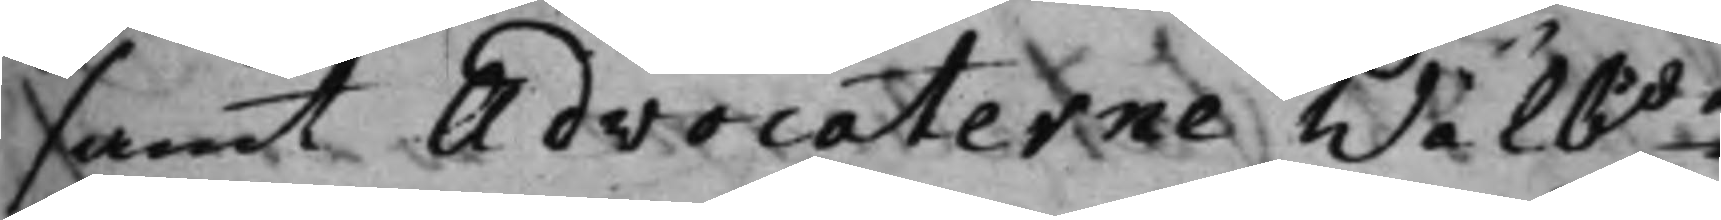samt Advocaterne Wälbde
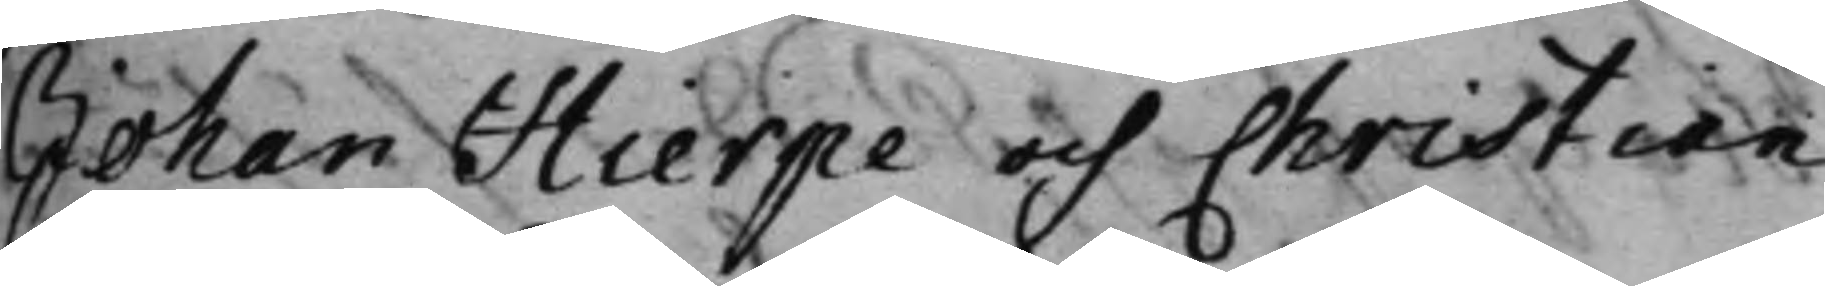Johan Hierpe och Christian
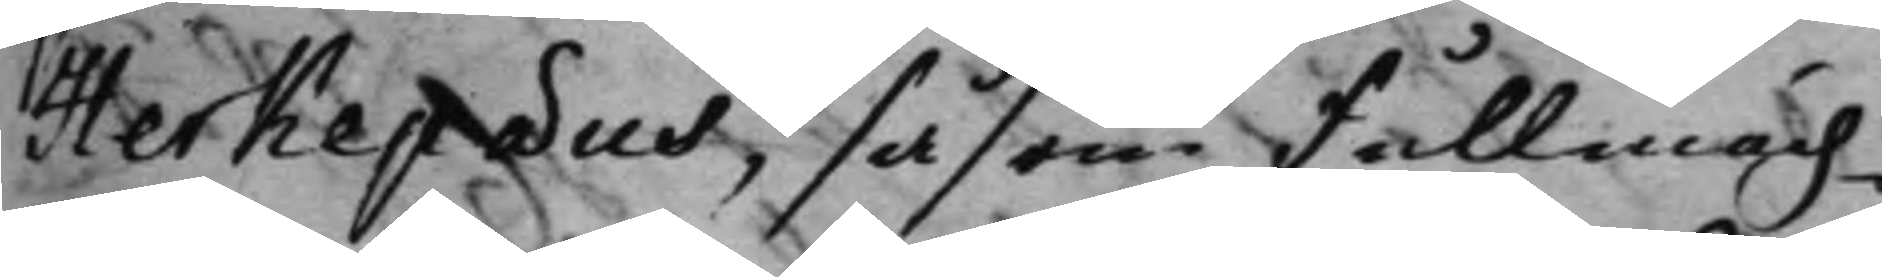Herkepæus, såsom Fullmäch¬
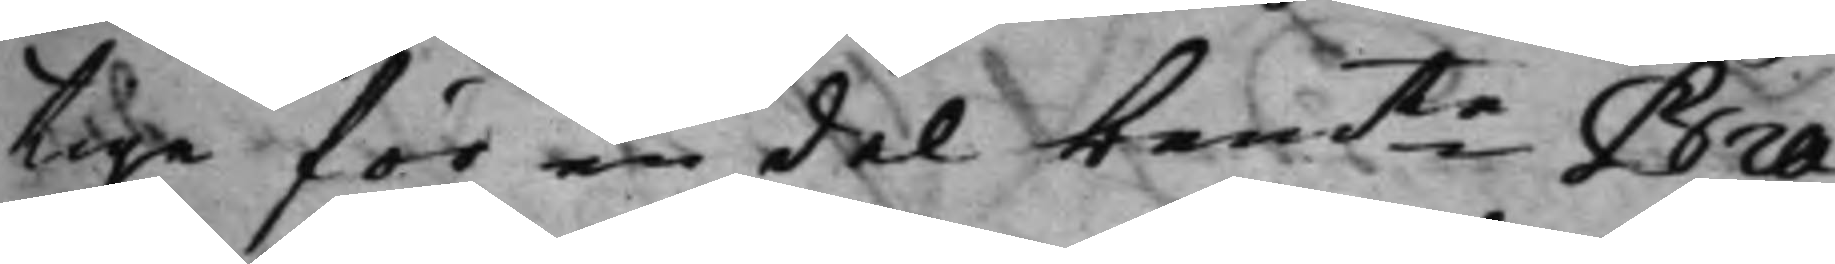tige för en del bemte Bra¬
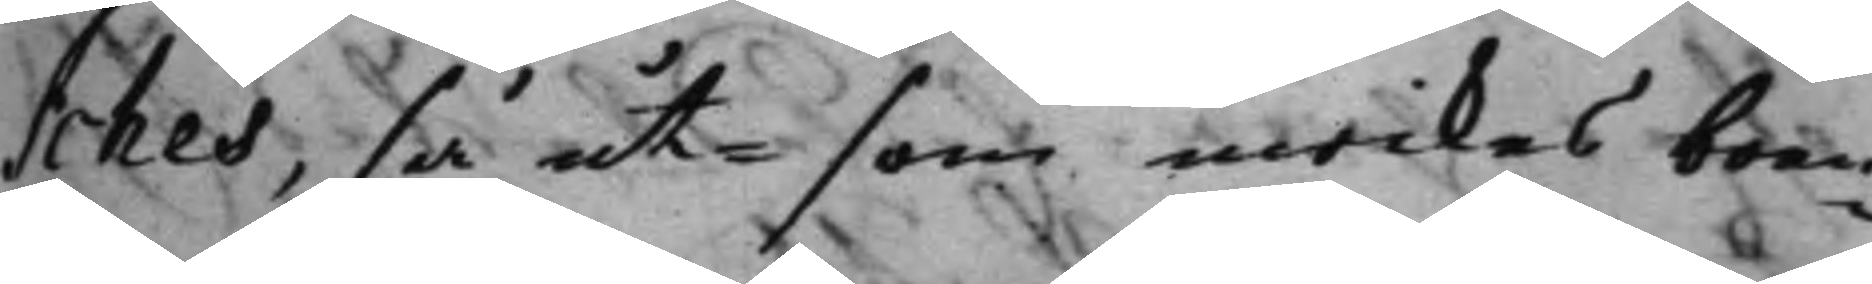sches, så ut- som inrikes boen¬
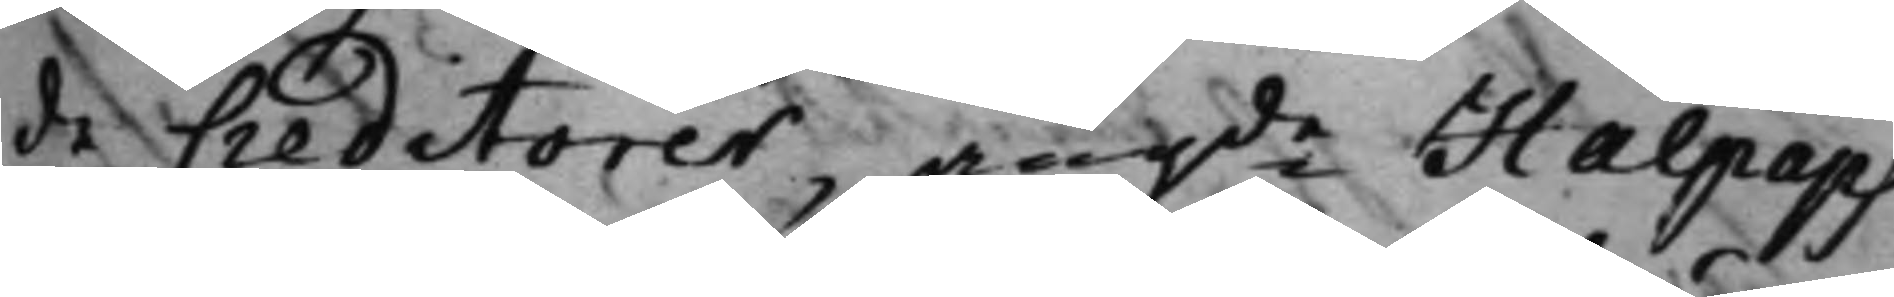de Creditorer, angde Halpaps
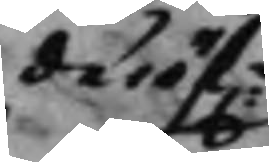däröf:r
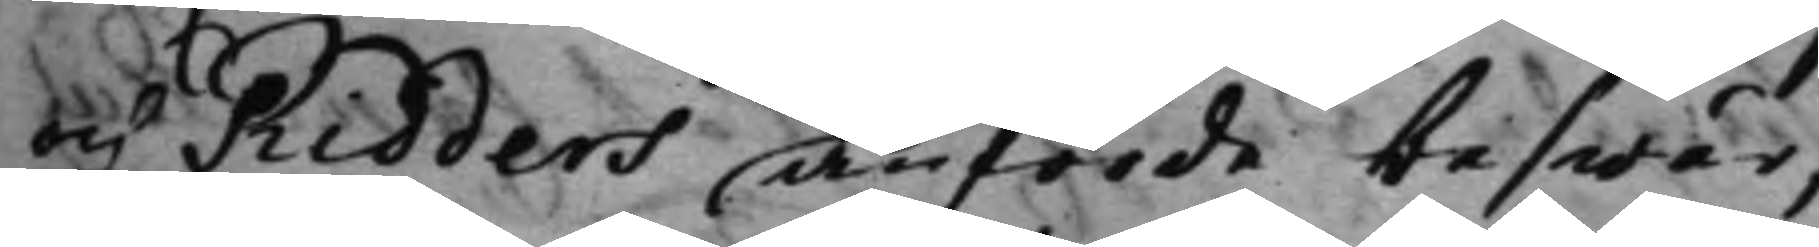och Ridders anförde beswär,
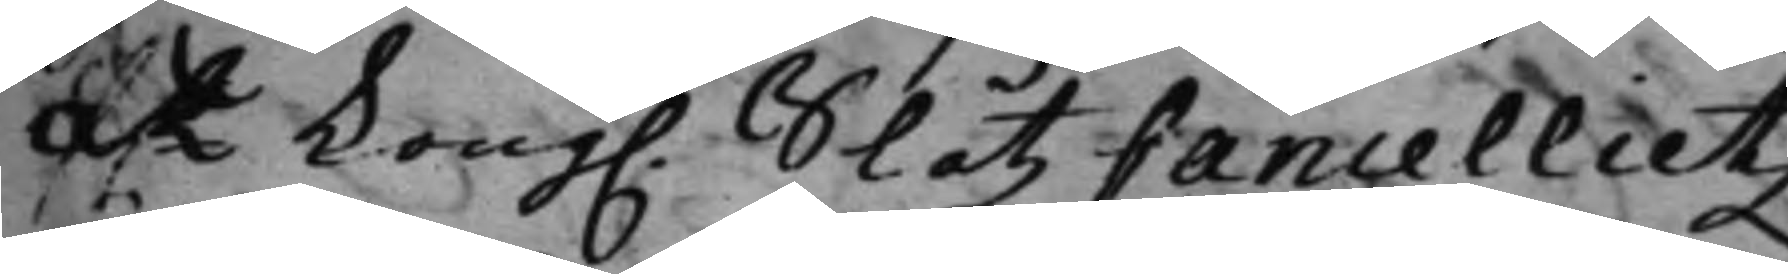at Kong. SlåtzCancellietz
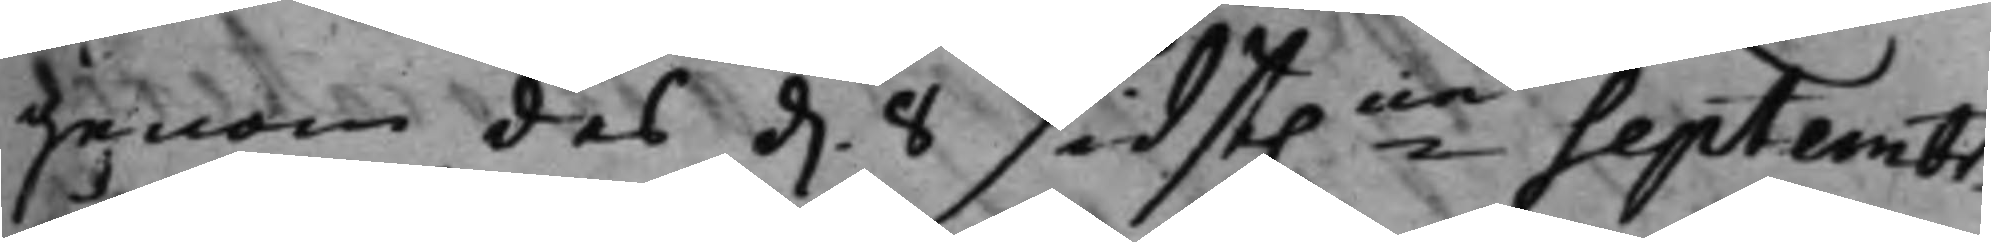genom des d. 8 sidst.ne Septembr.
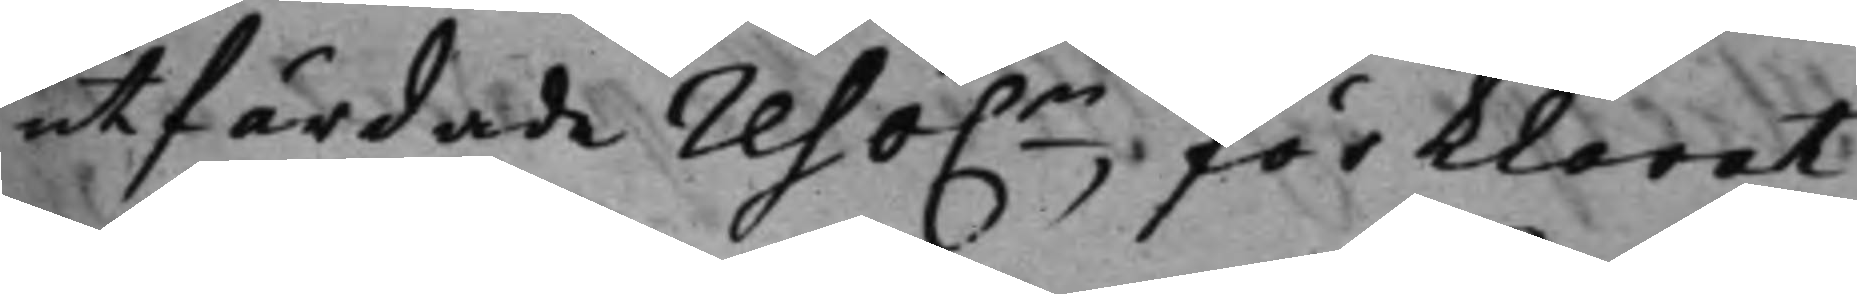utfärdade reso.n förklarat,
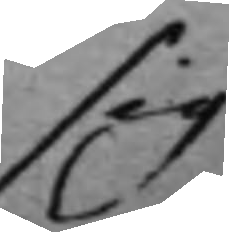sig
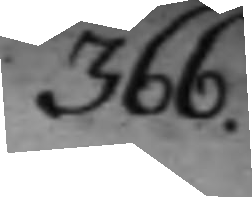366.
